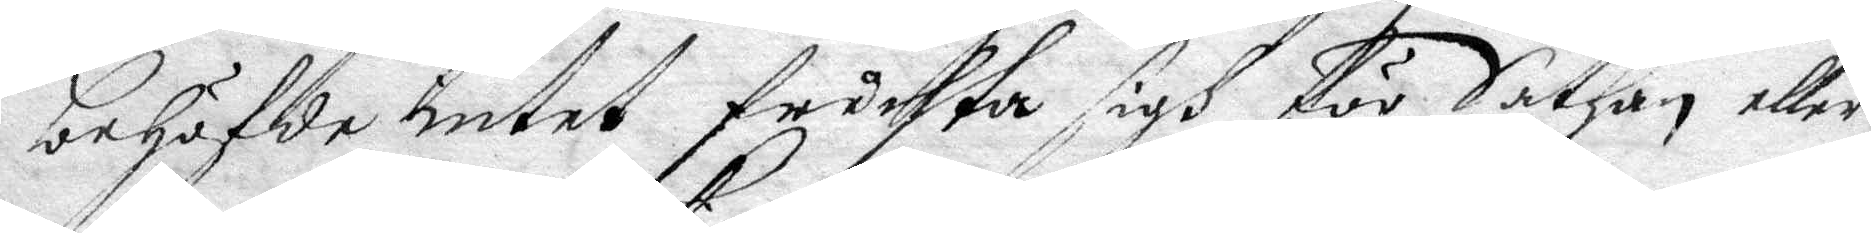behöfde intet fruchta sigh för Sathan eller
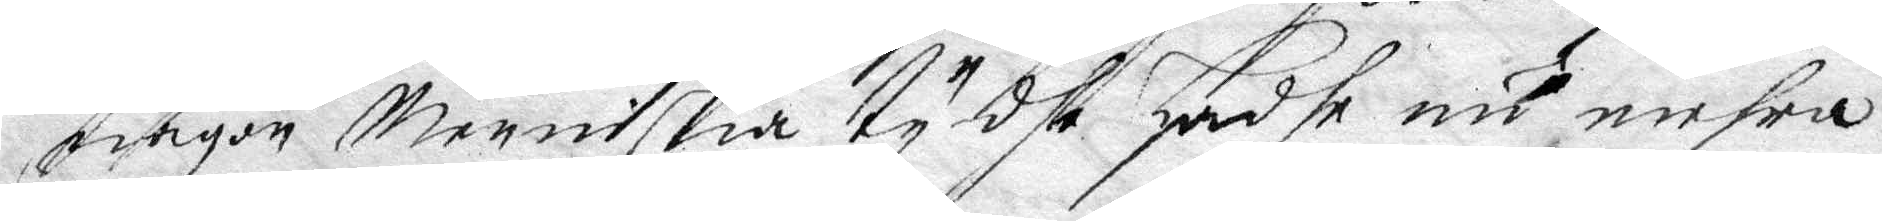någon Menniskia ty dhe hadhe nu mehra
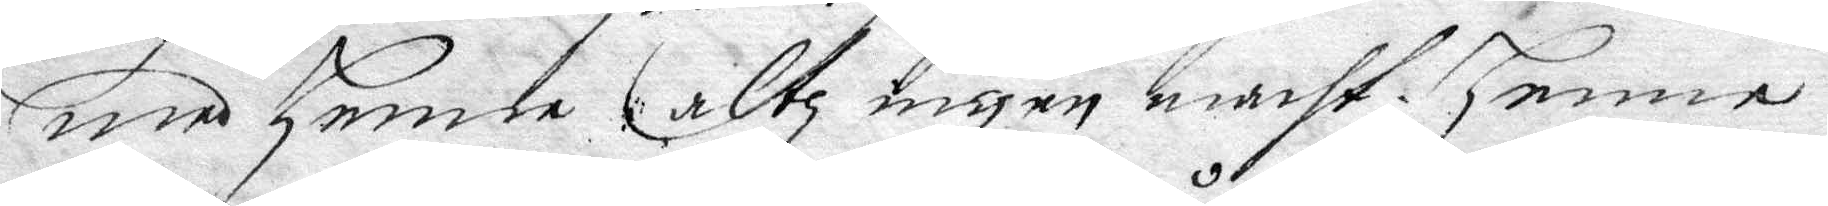med Henne altz ingen macht, Henne
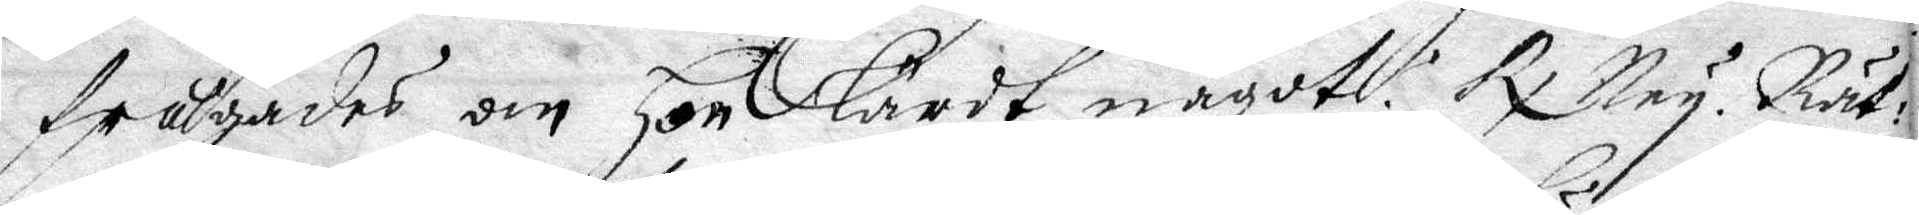frågades om hon lärdt något? Rx Ney. Rät¬ 
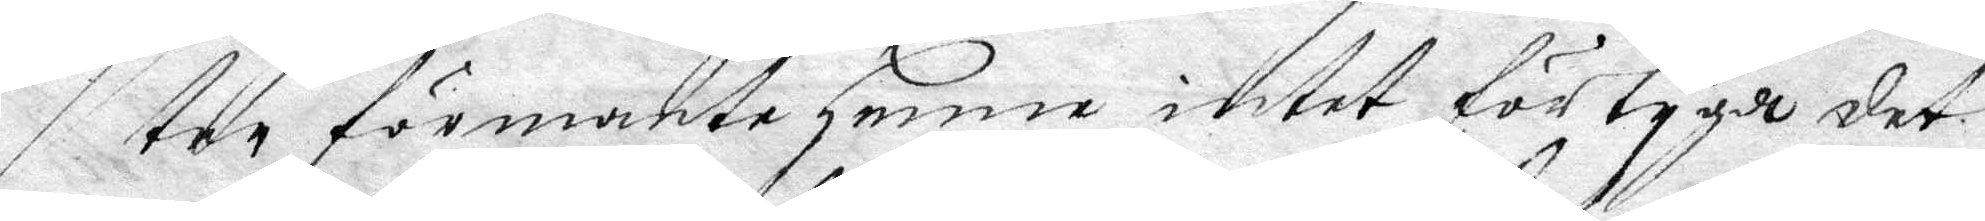ter förmante henne intet förtyga det
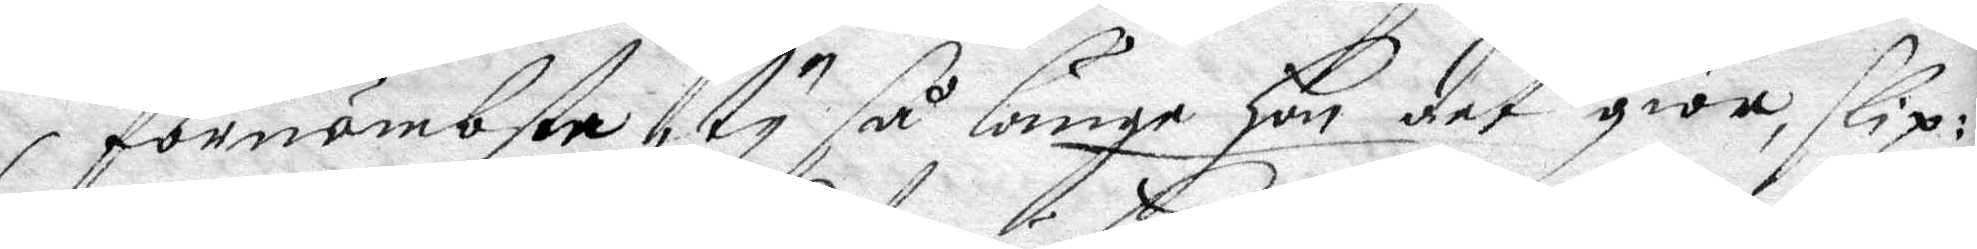förnämbsta, ty så länge hon det giör, slip¬
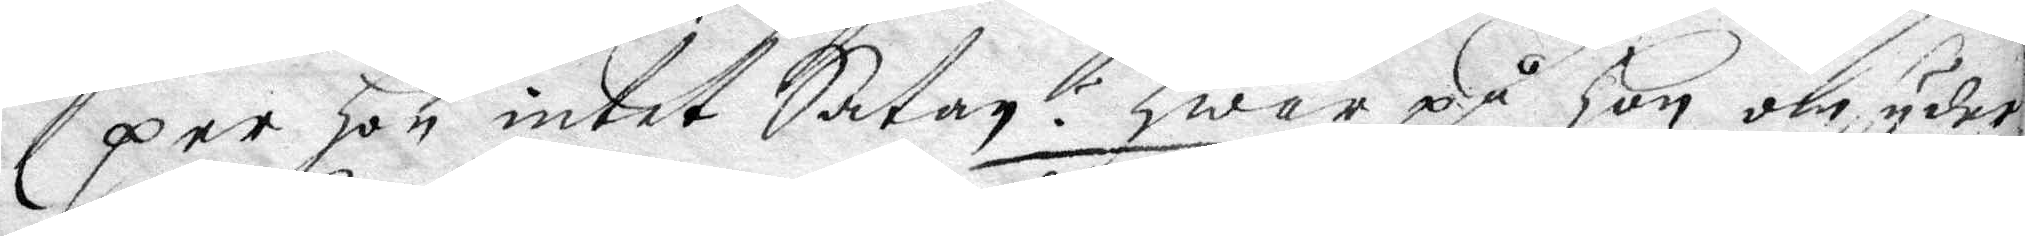per Hon intet Satan? hwar på Hon omsyder
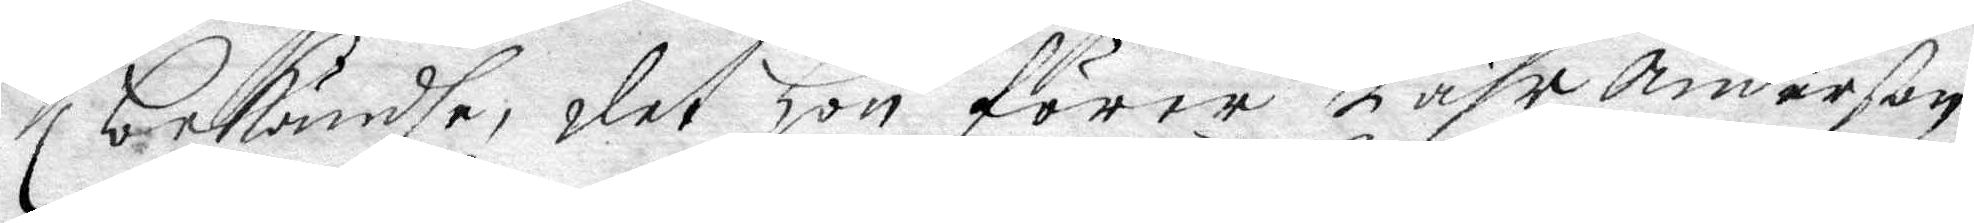bekändhe, det Hon förer Pähr Anderson
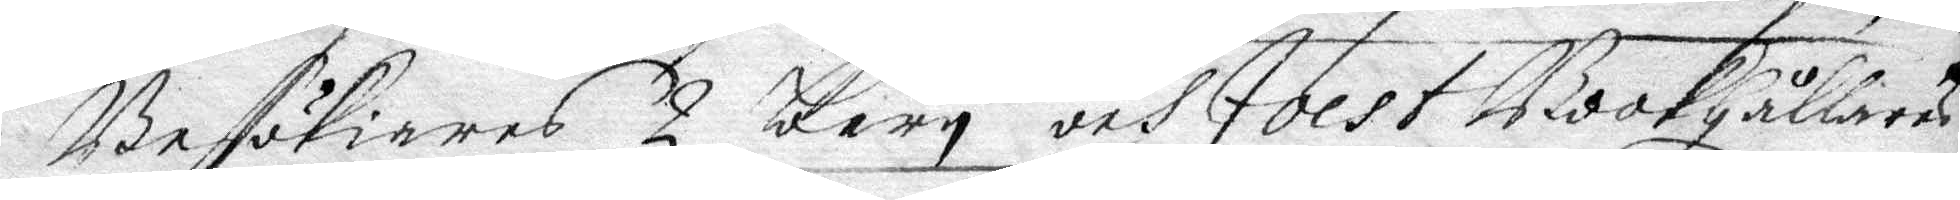Besökiares 2 Barn och Jolst Bookhållares
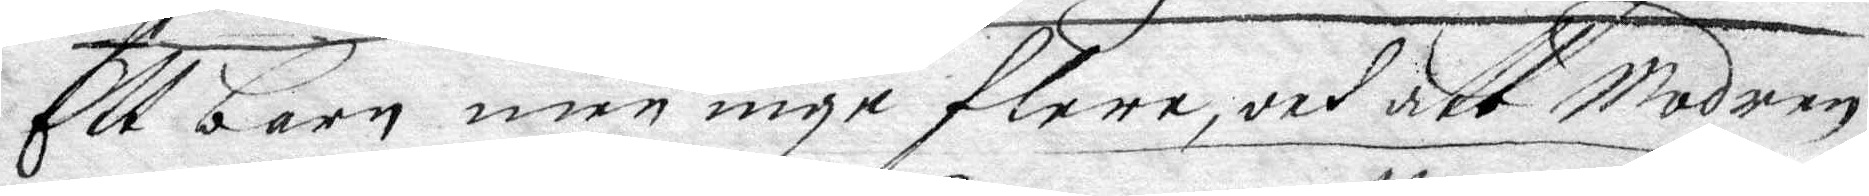Ett barn men inge flere, och att Modren
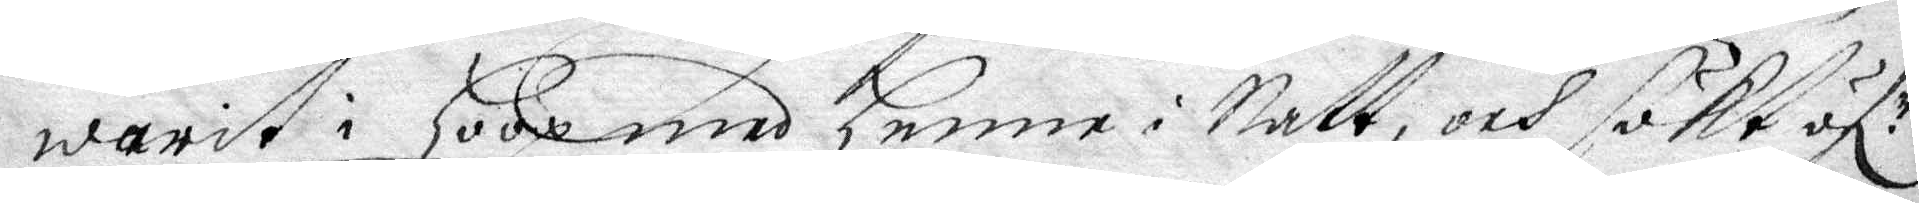warit i hoop med henne i Natt, och sökt öfr¬
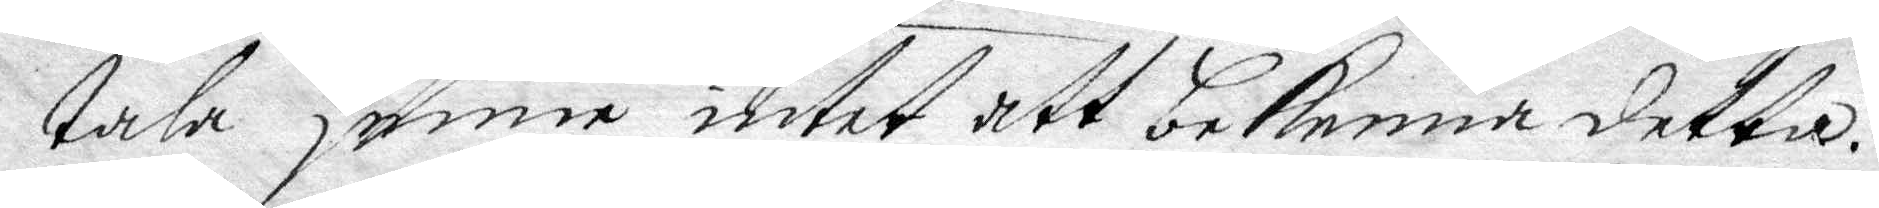tala henne intet att bekenna detta.
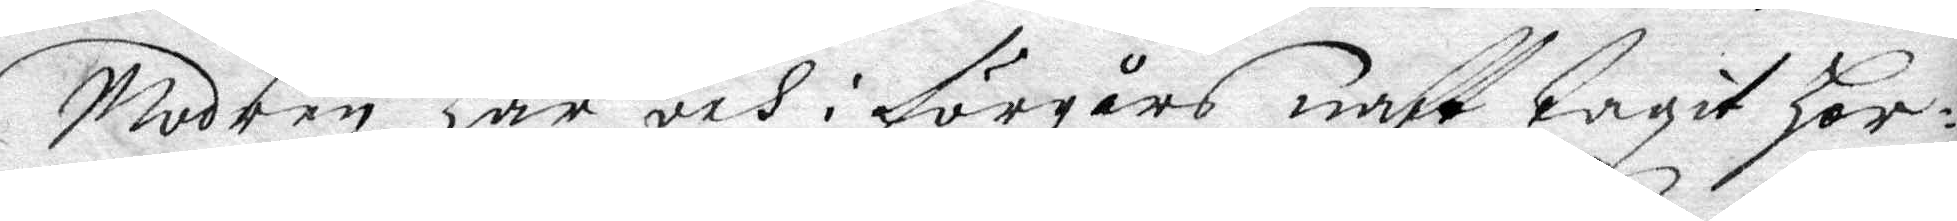Modren har och i förgårs natt tagit Hor¬
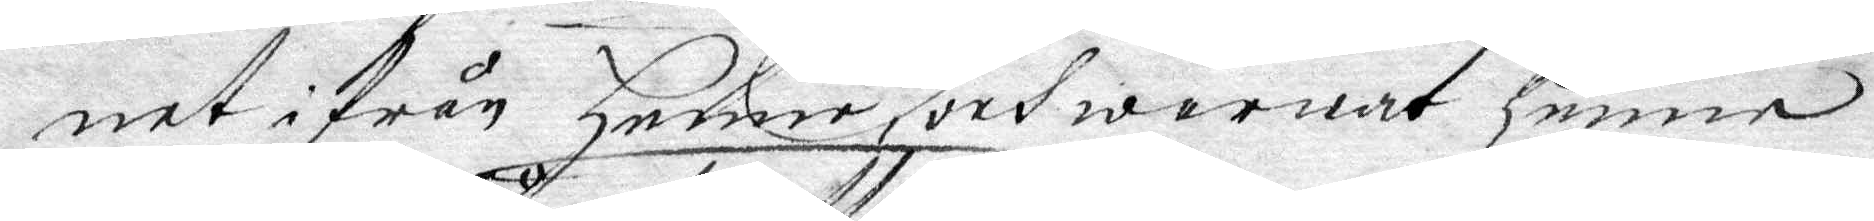net ifrån Henne, och warnat henne
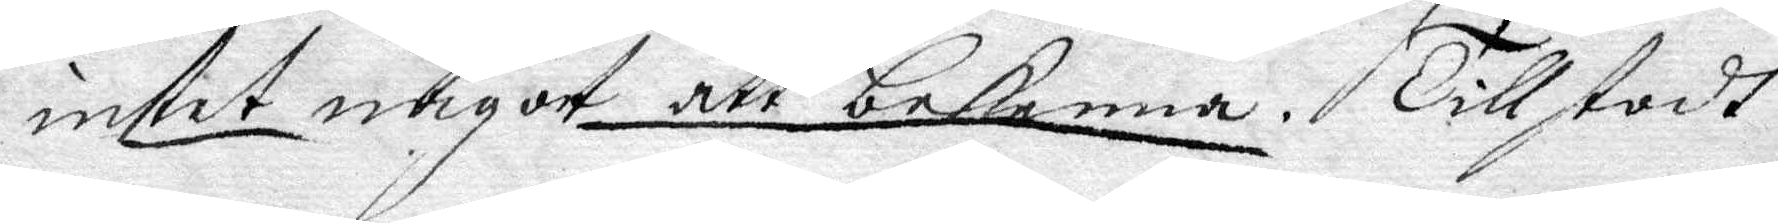intet någott att bekenna. Tillstodh
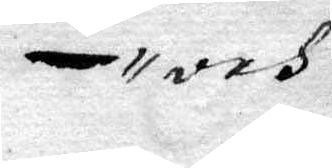och
